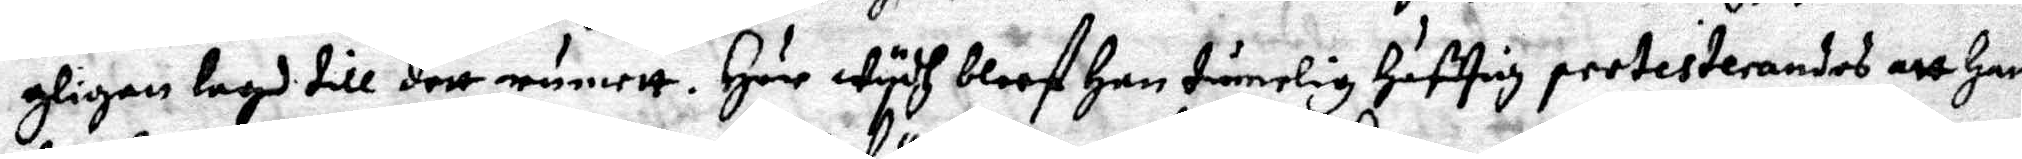gligen lagh till dett rumett. Här wydh bleef han tämelig häfftig protesterandes att Hans
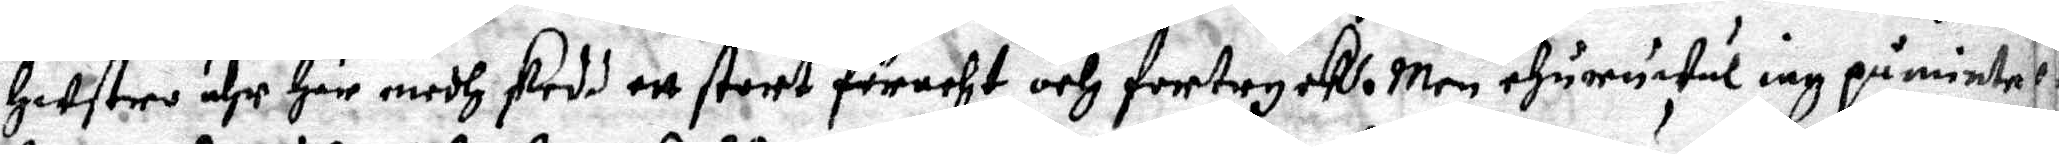hustro ähr Här medh skedd ett stort föracht och fortryck. Men ehuruwäl iag påmintet
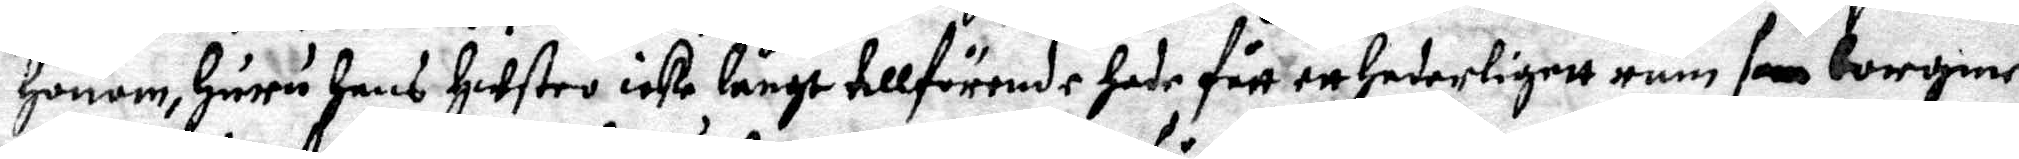honom, huru hans Hustro icke långt tillförende hade fått ett hederligett rum som borgme¬
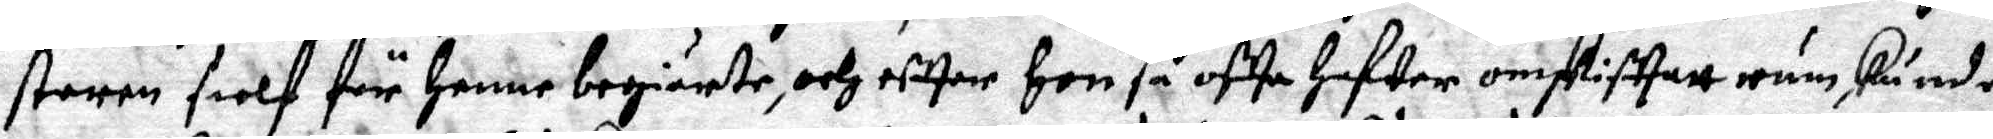steren sielf för henne begiärte, och effter hon så offa hafwer omskiffatt rum kunde
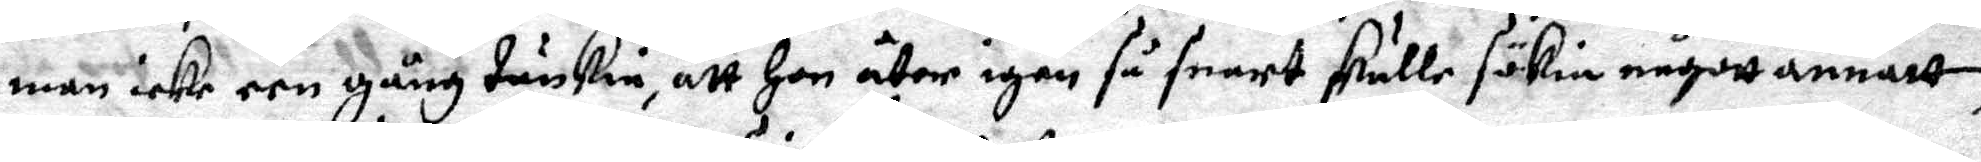man icke een gång tänkie, att hon åter igen så snart skulle sökia någott annatt,
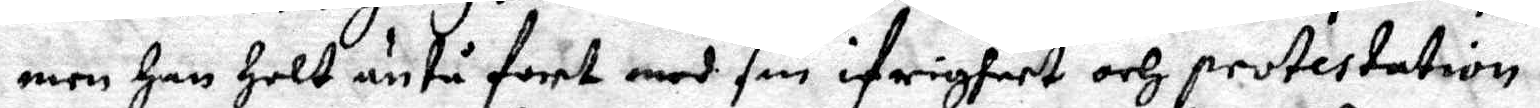men han holt äntå fort med sin ifrigheet och protestation.
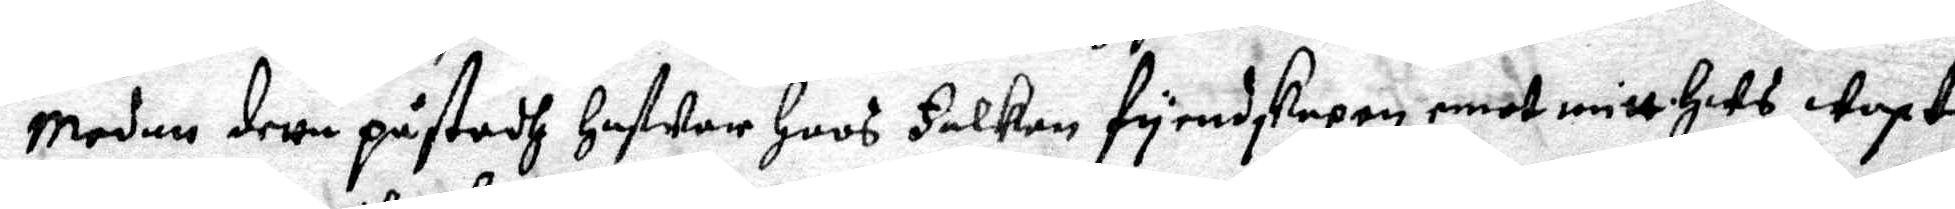Medan detta påstodh hafwer hoos Falken fyendskapen emot mitt huus Waxt
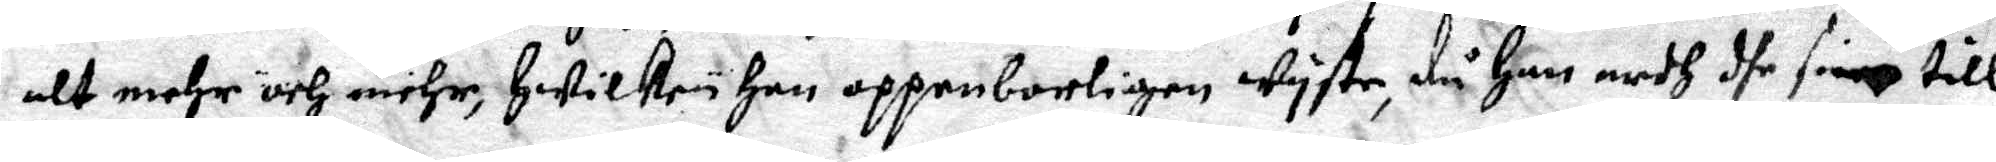alt mehr och mehr, hwilken han oppenbarligen wyste, då han medh dhe sinne till
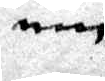min
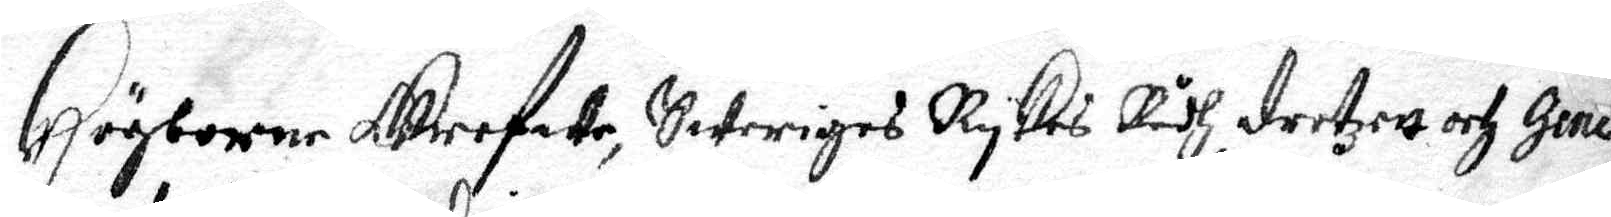Högborne grefwe, Sweriges Rykes Rådh, drotzett och Gene¬
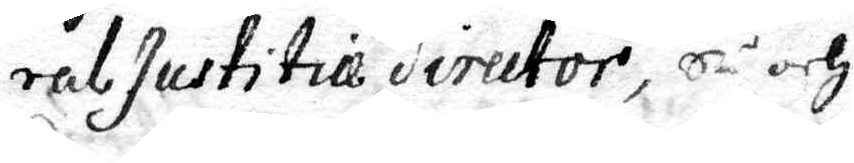ral Justitie director, så och
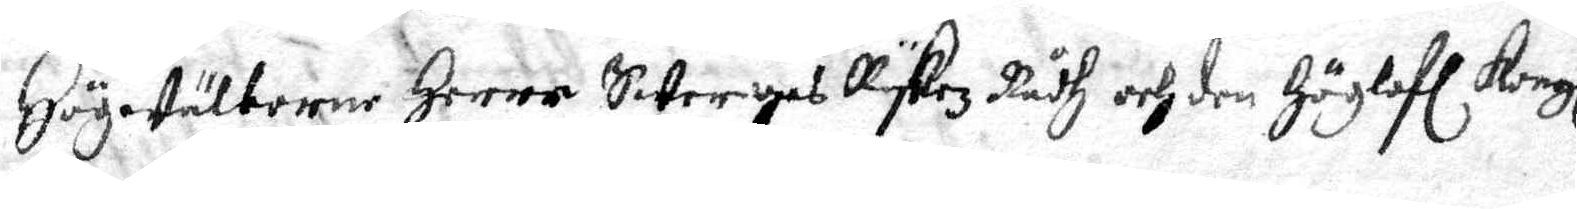Högewälborne Herre Sweriges Rykez Rådh och den Höglof. Kongl.
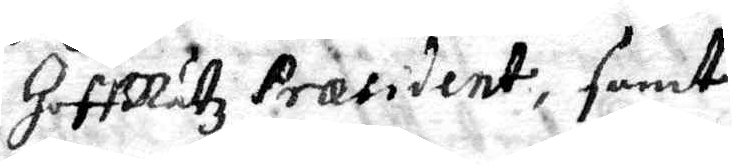HoffRätz Præsident, samt
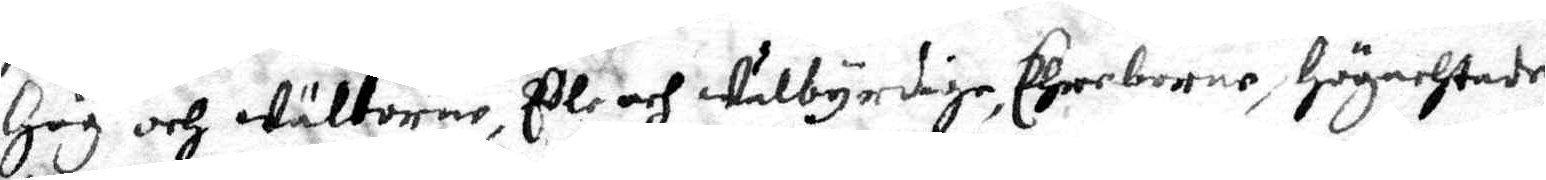Hög och Wälborne, Edle och Wälbyrdige, Ehrerborne, högachtade
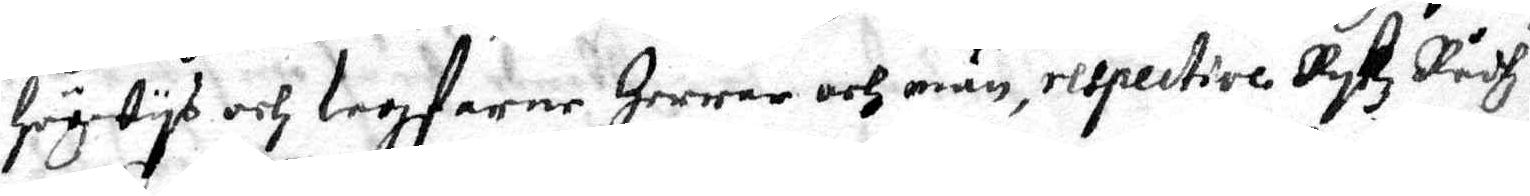högwys och Lagfarne Herrar och män, respective Rykz Rådh
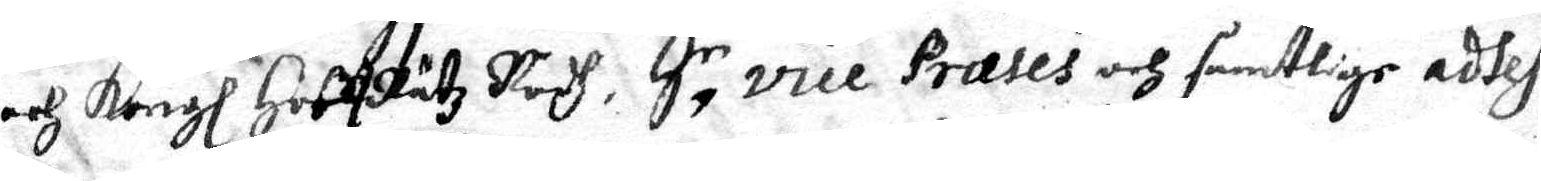och Kongl. HoffRätz Rådh, Så vice Præses och samtlige attes¬
